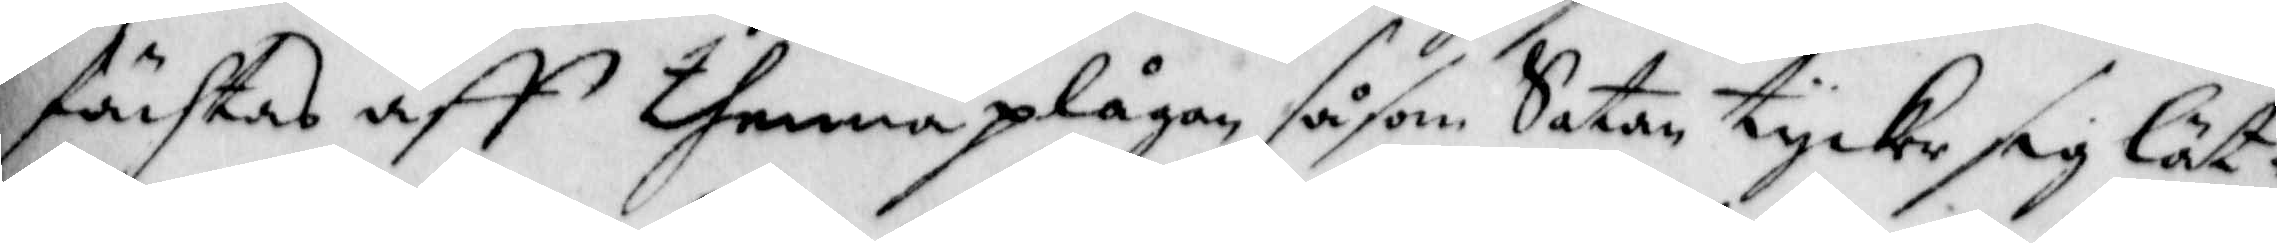fächtas aff thenna plågan såsom Satan tycke sig lät-
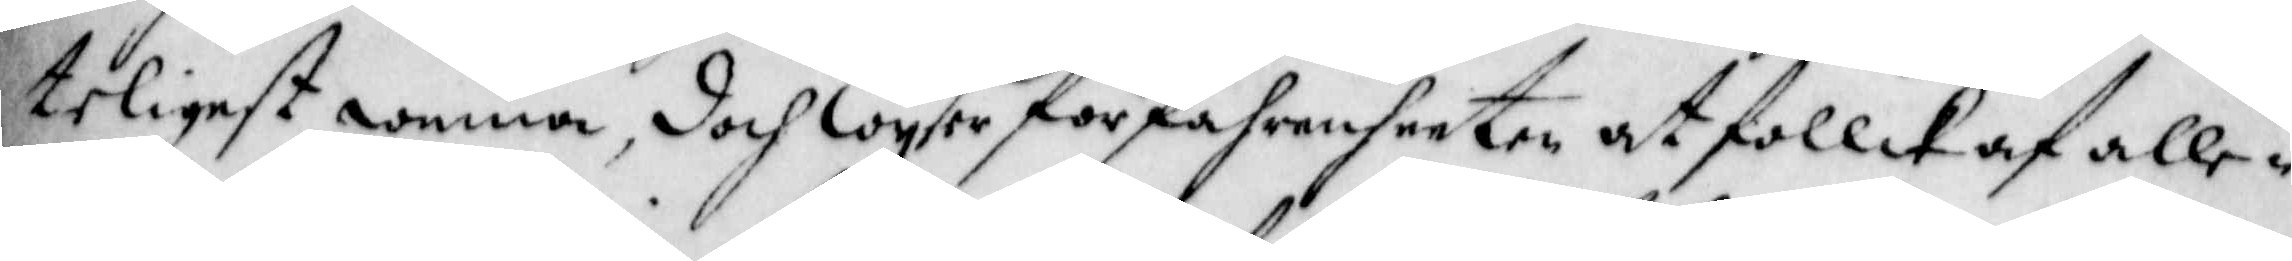teligest winna, doch wyser förfahrenheeten at follck af alle-
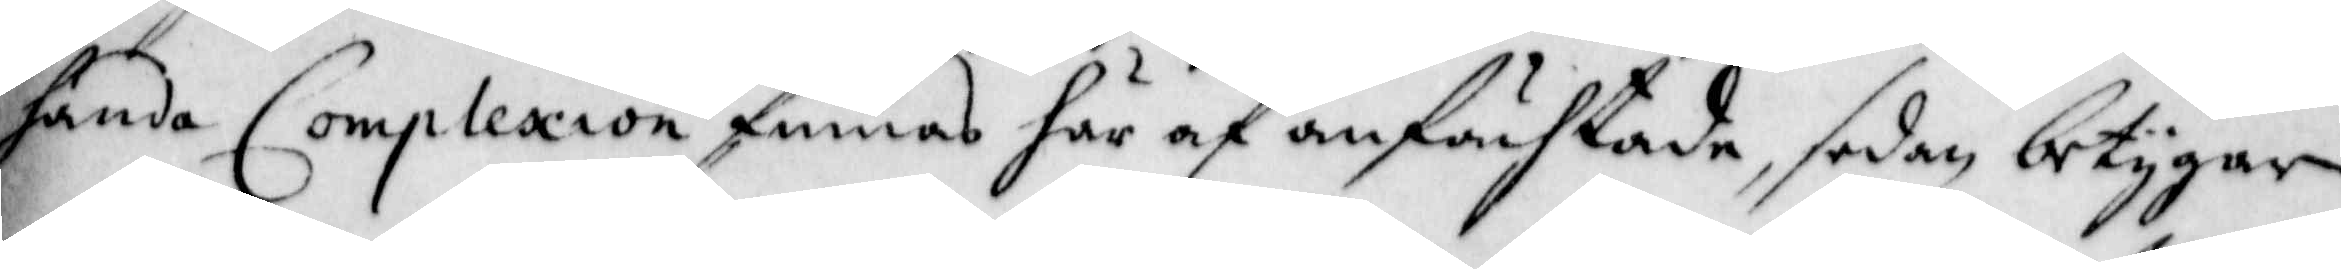hande Complexion finnas här af anfächtade, sedan betygar
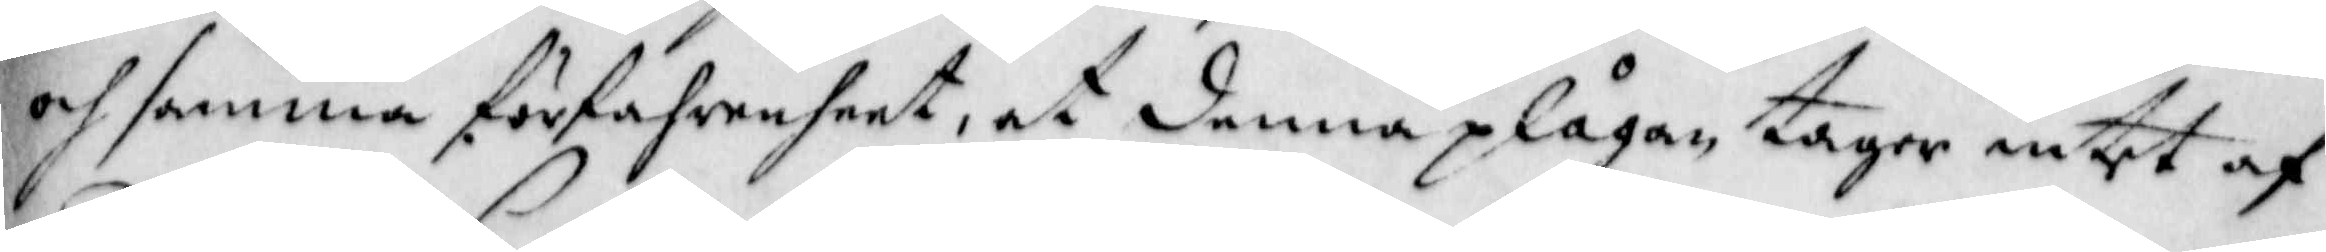och samma förfahrenheet, at denna plågan tager intet af
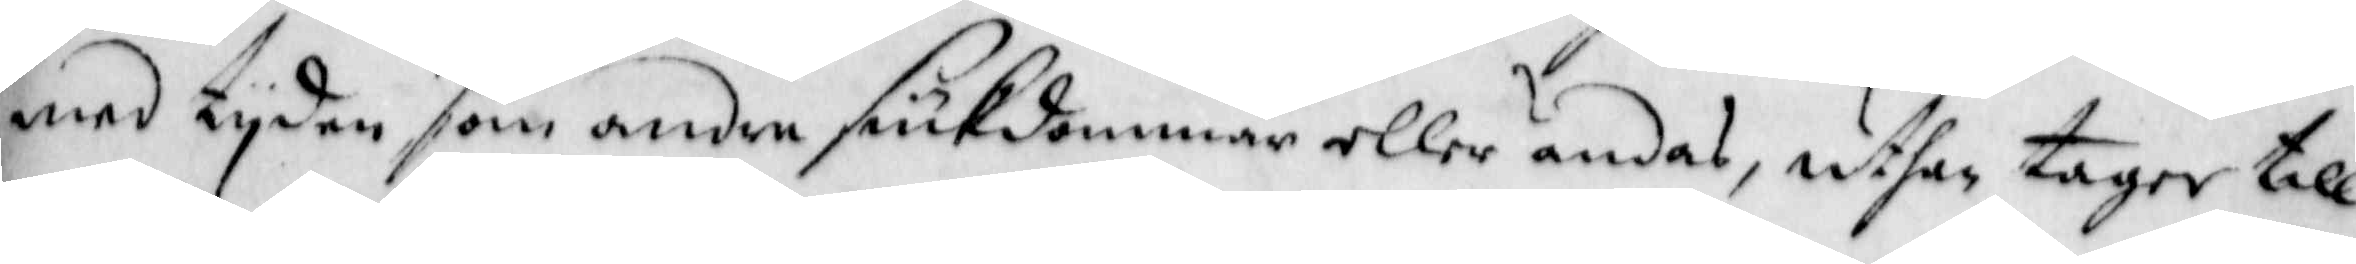med tyden som andre siukdommar eller ändas, uthan tager till
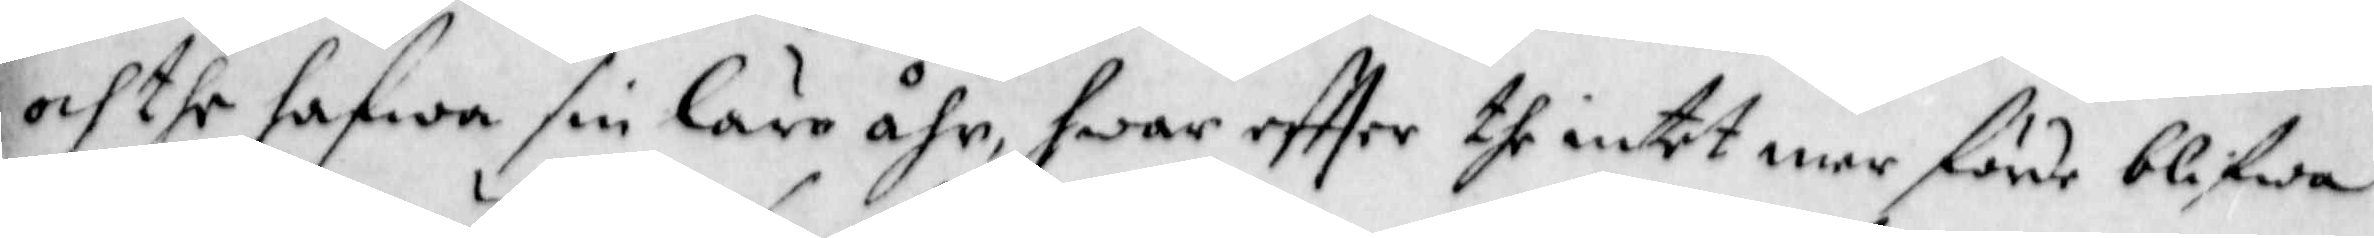och the hafwa sin läro åhr, hwar effter the intet mer förde blifwa
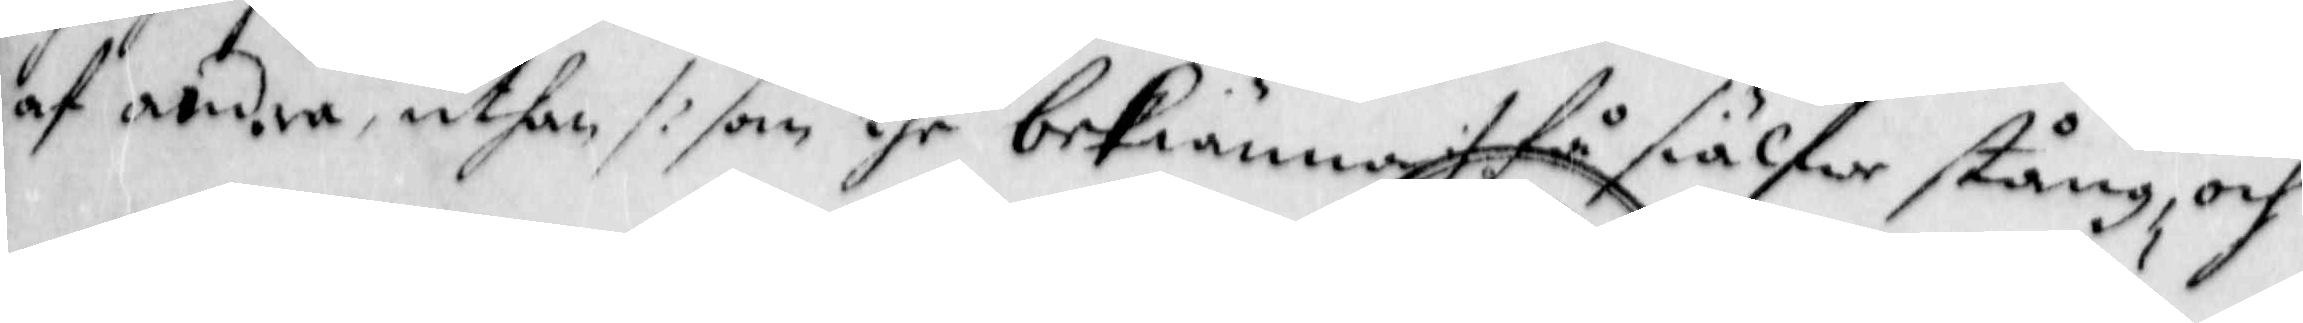af andra, uthan /: som the bekiänna :/ få siälfwe stång, och
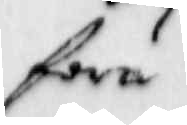föra
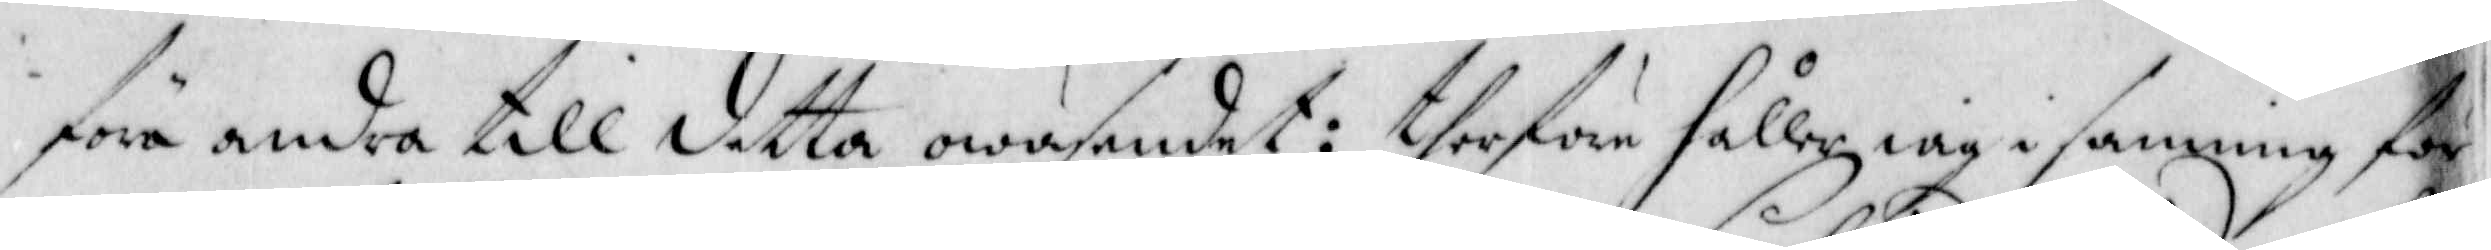föra andra till detta owäsendet: therföre håller iag i sanning för
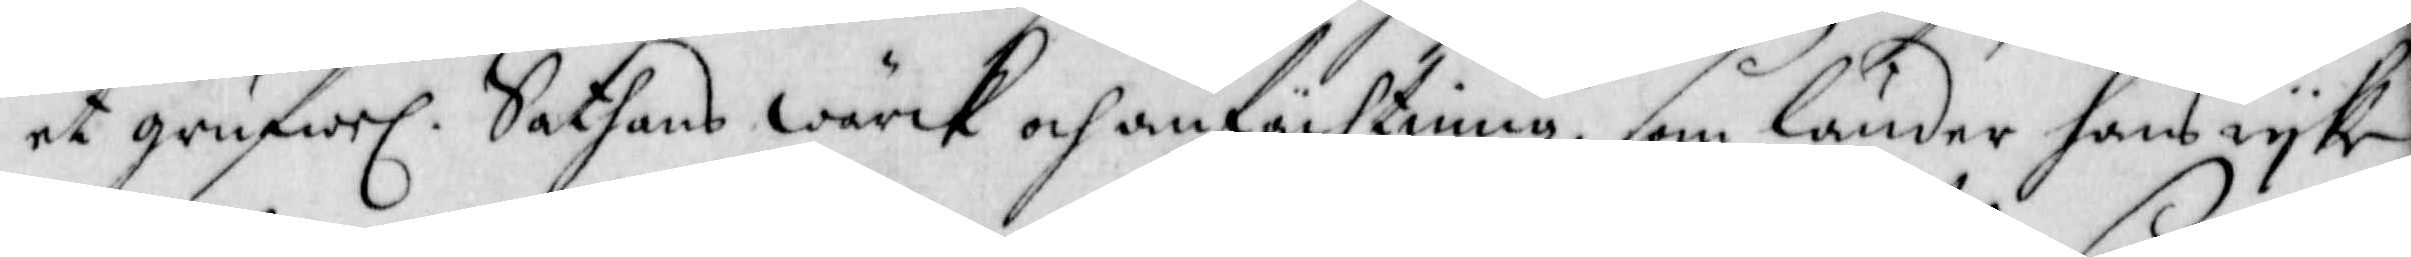et grufwel. Sathans Wärck och anfächtning, som länder hans ryke
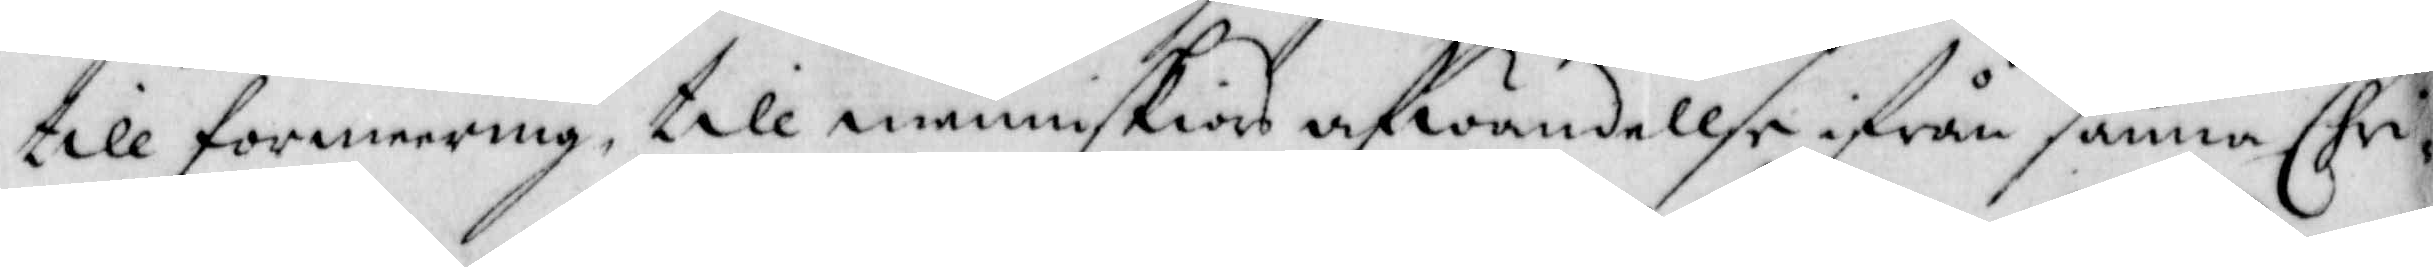till förmeering, till menniskiors afwändellse ifrån samma Chri¬
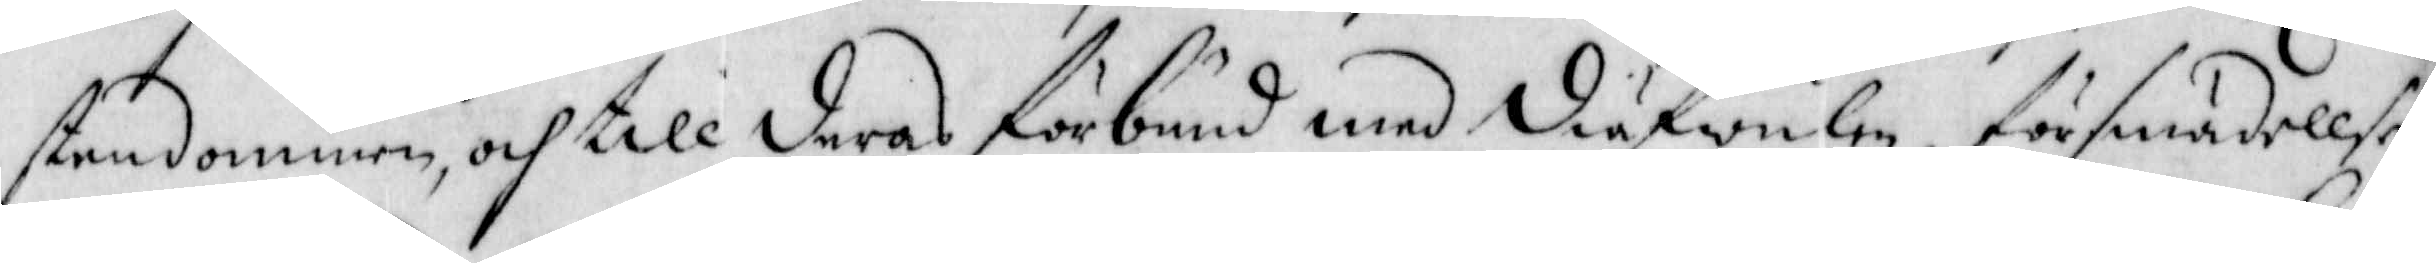stendommen, och till deras förbund med diufwulen, försmädellse
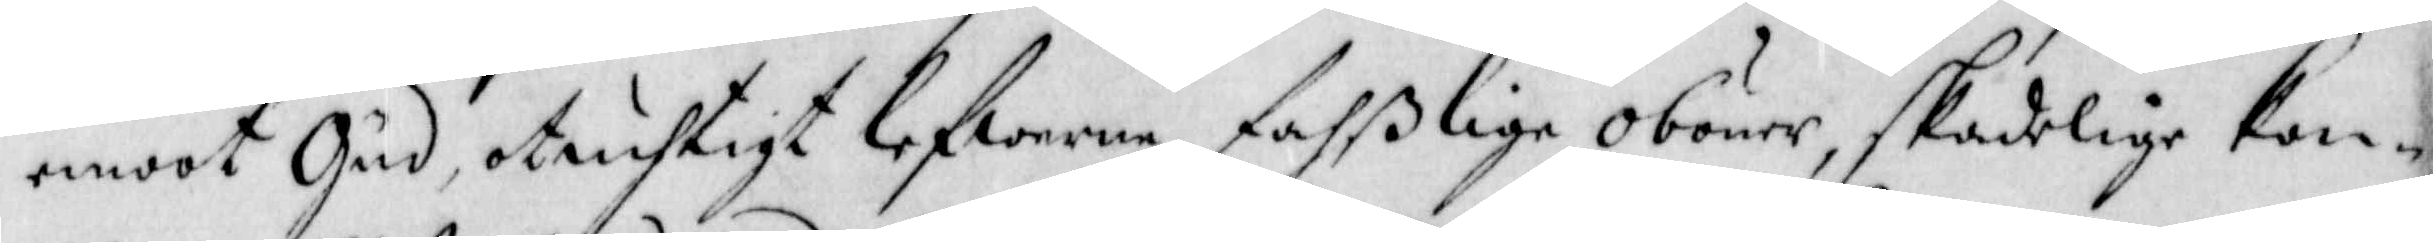emoot Gud, otuchtigt lefwerne, fahßlige oböner, skadelige Kon¬
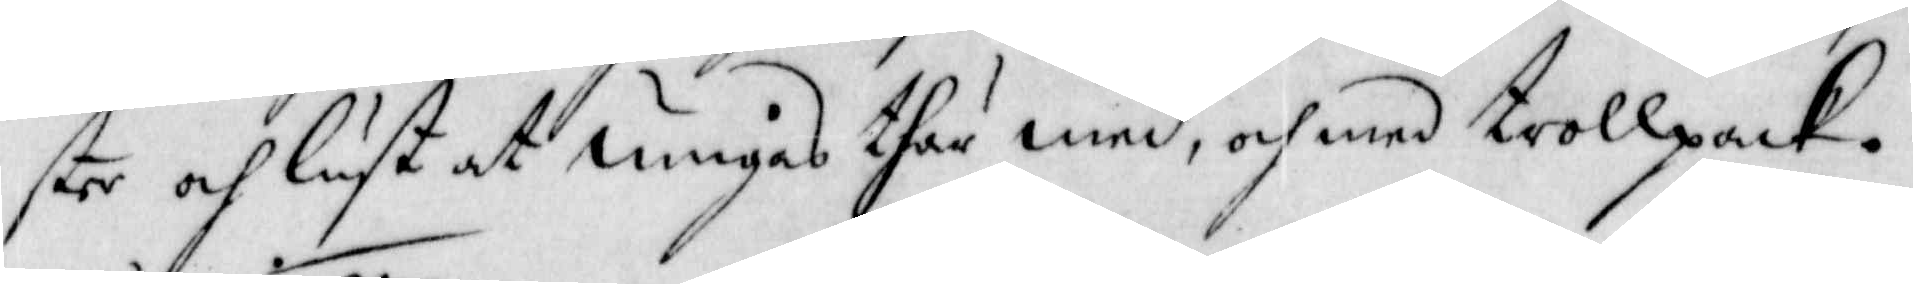ster och lust at umgås thär med, och med trollpack.
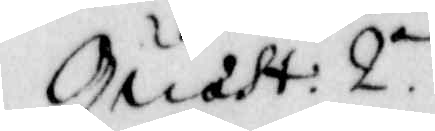Quast: 2o.
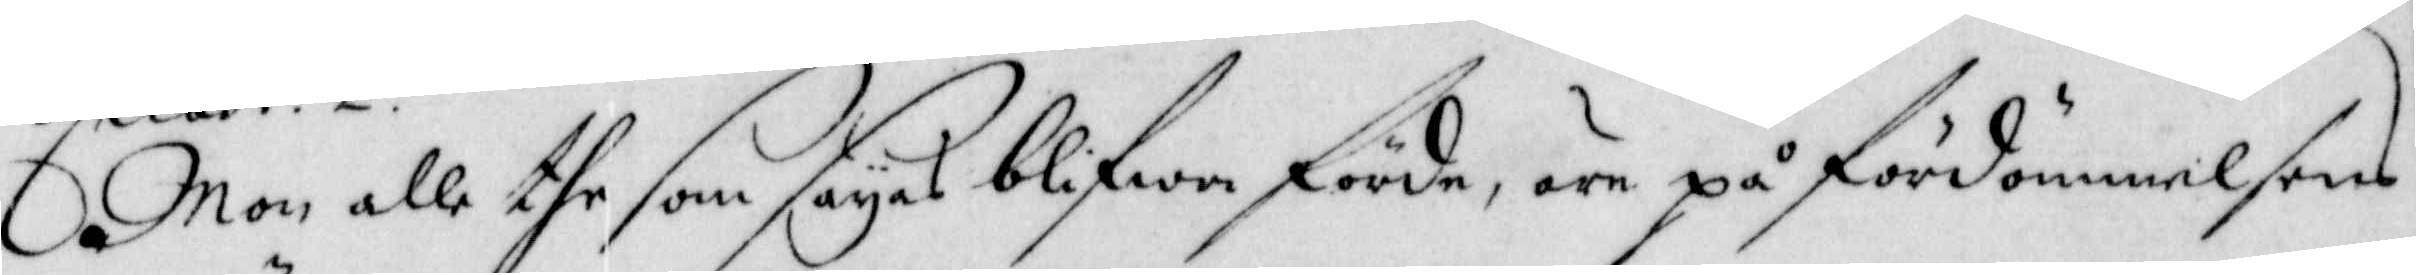Mon alle the som sayas blifwa förde, äre på fördömmelsens
